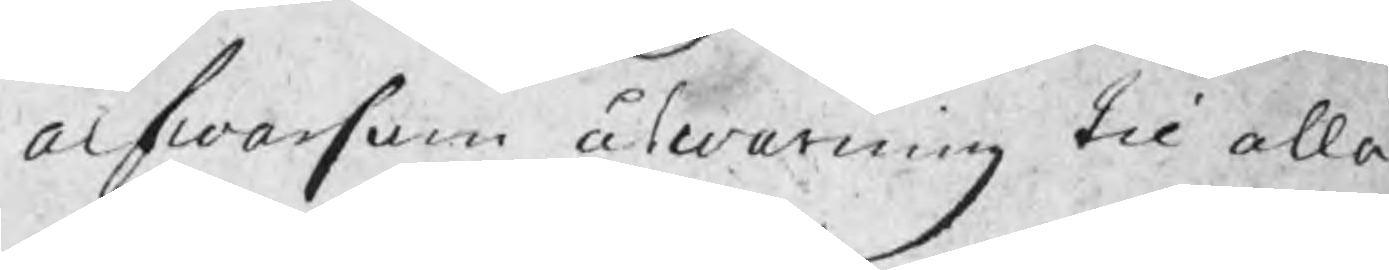alfwarsam åtwarning til alla
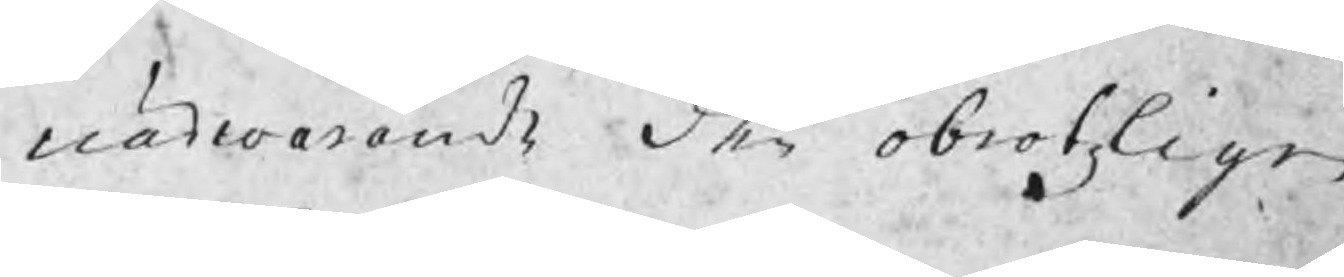närvarande den obrotzligen
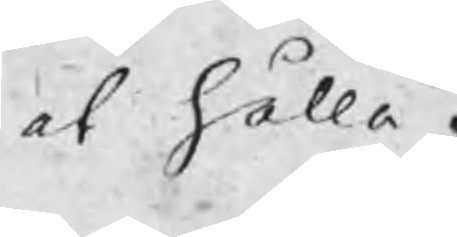at hålla.
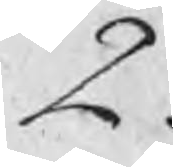2.
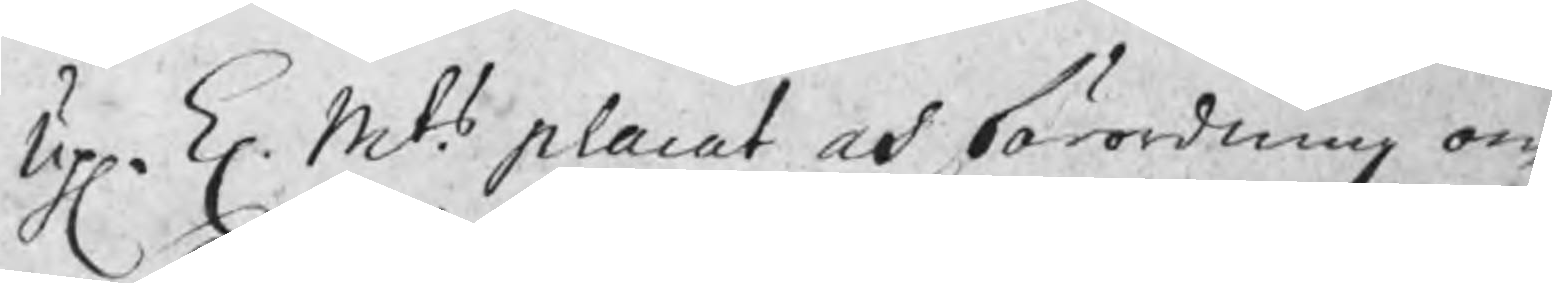Up. K. Mts. placat och förordning om
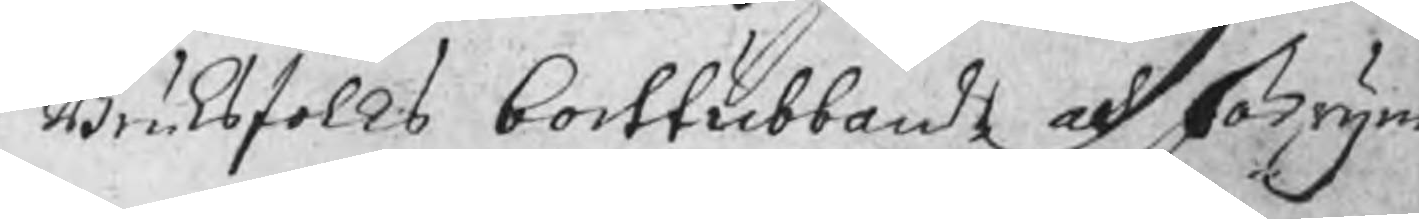Bruksfolks borttubbande och förrym
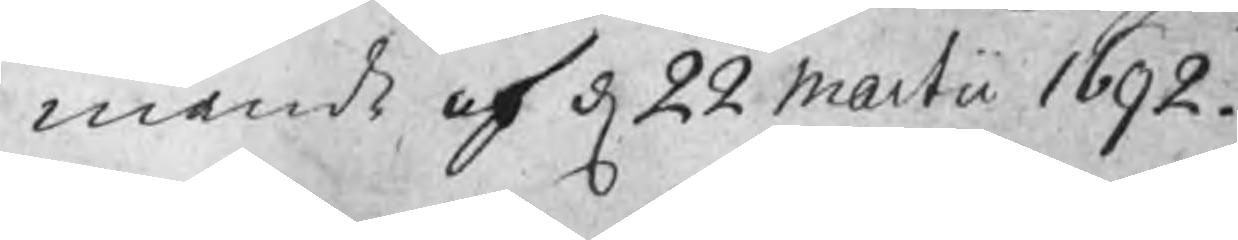mande af d 22 Martii 1692.
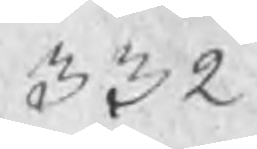332
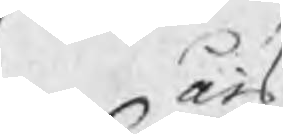års
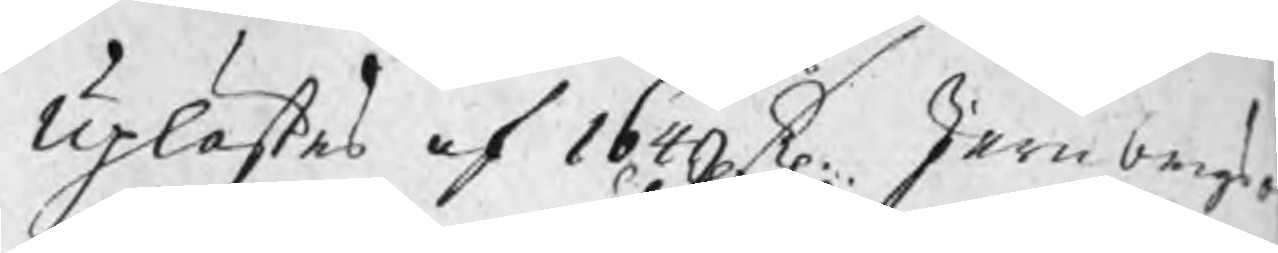Uplästes af 1649 K. Jernbergs¬
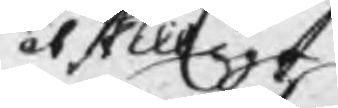åtskillige
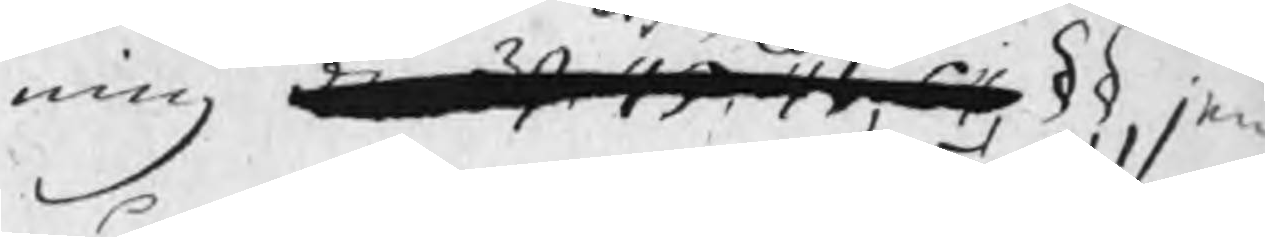ning den 39, 45, 46, 64 §§, jem
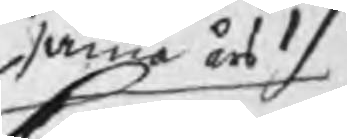samma års
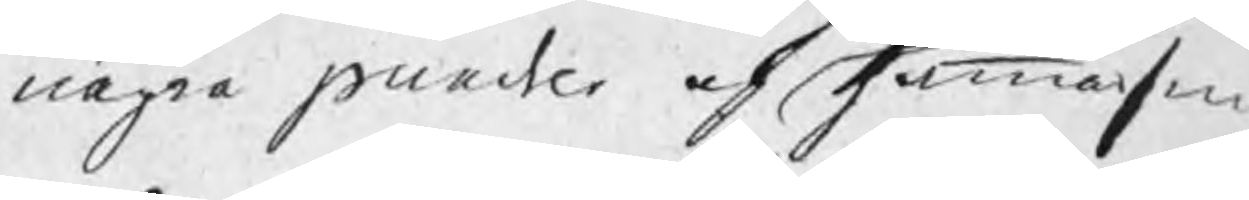några puncter af Hammarsm
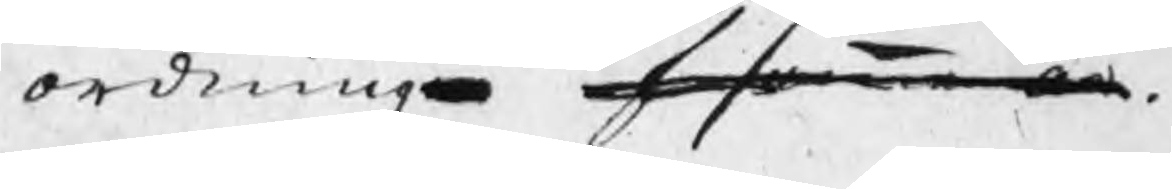ordning för samma år.
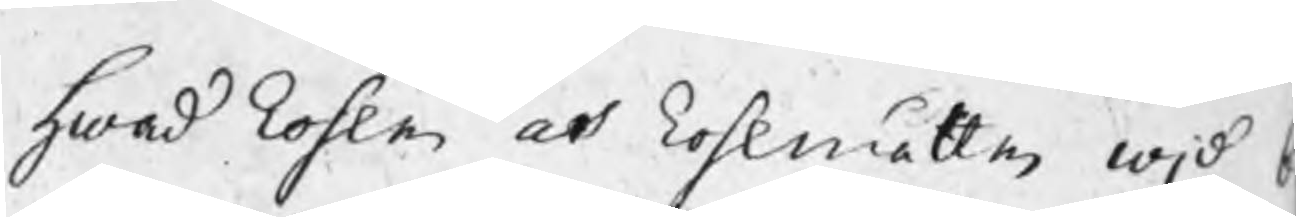Hwad kohlen och kohlmåtten wid b¬
